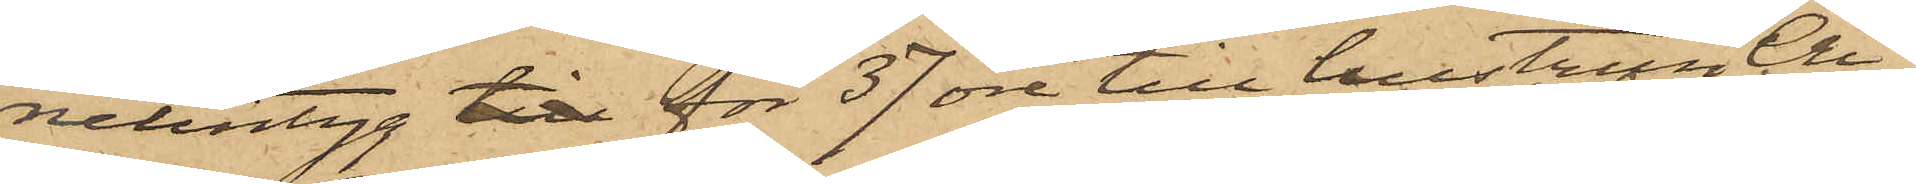nelintyg till för 37 öre till hustrun Cri¬
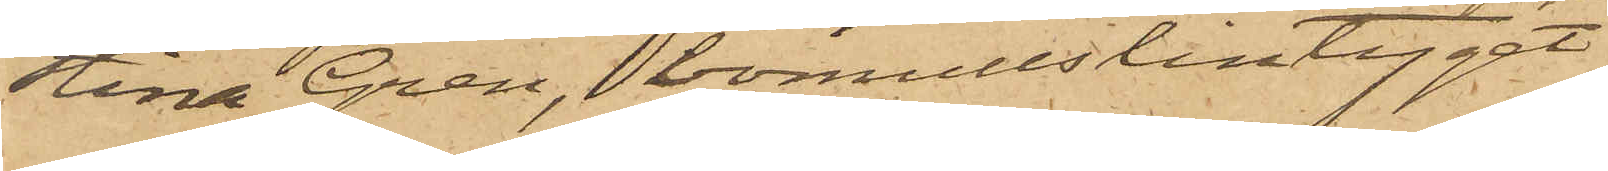stina Gren, bomullslintyget
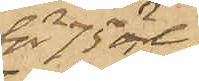för 75 öre
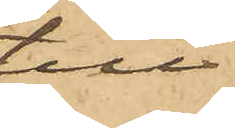till
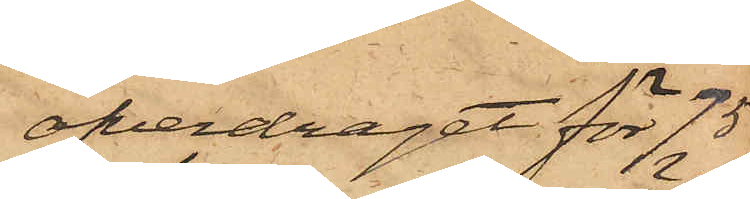öfverdraget för 75
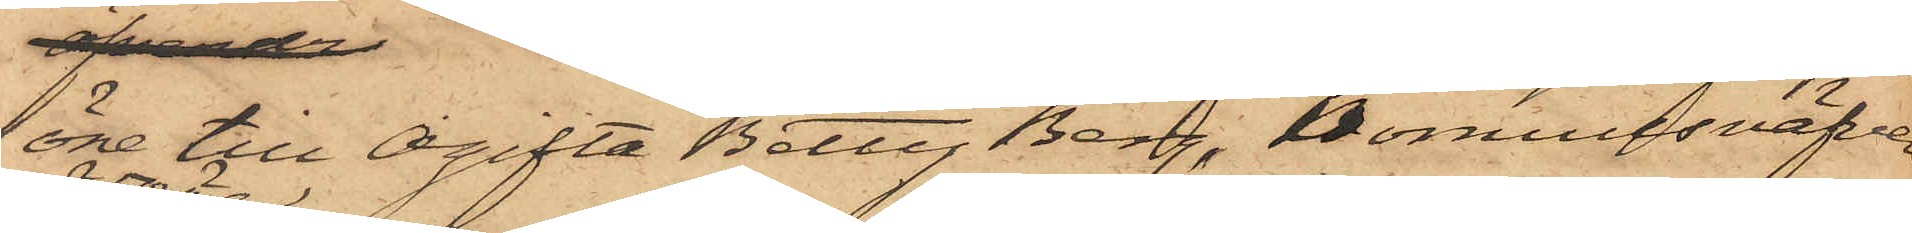öre till Ogifta Betty Berg, bomullsväfven
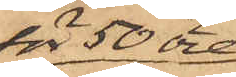för 50 öre
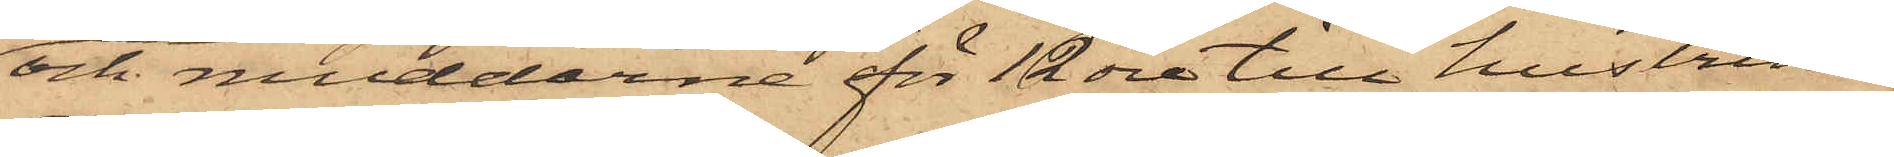och muddarna för 12 öre till hustrun
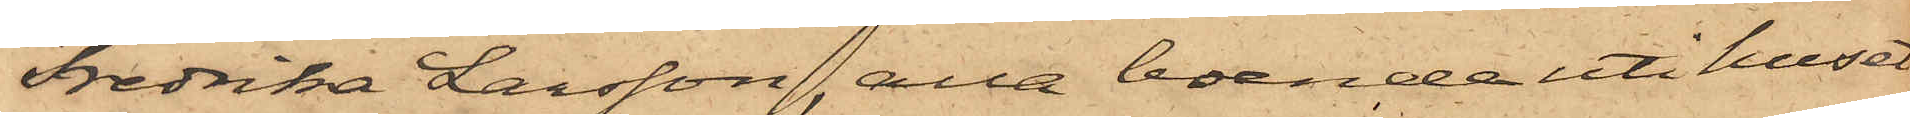Fredrika Larsson, alla boende uti huset
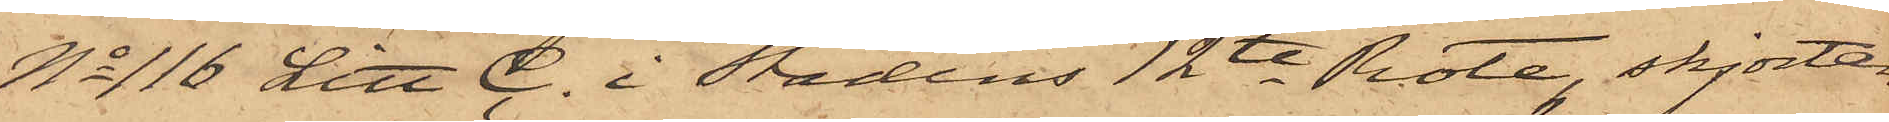No 116 Litt C. i Stadens 12te Rote, skjortan
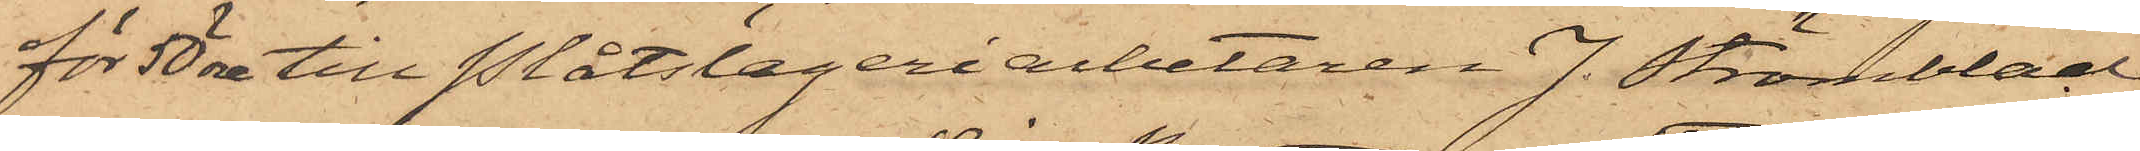för 50 öre till Plåtslageriarbetaren J. Strömblad
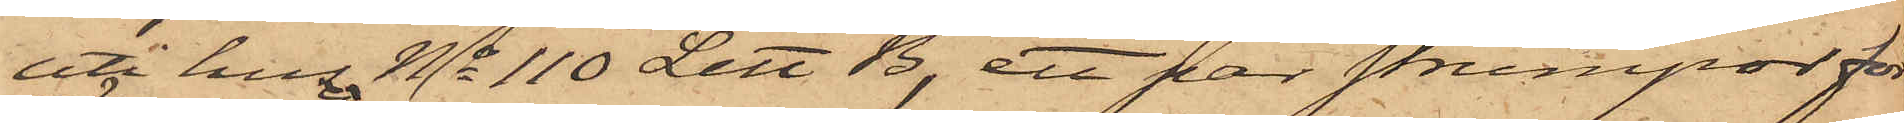uti huset No 110 Litt B, ett par strumpor för
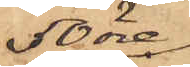50 öre
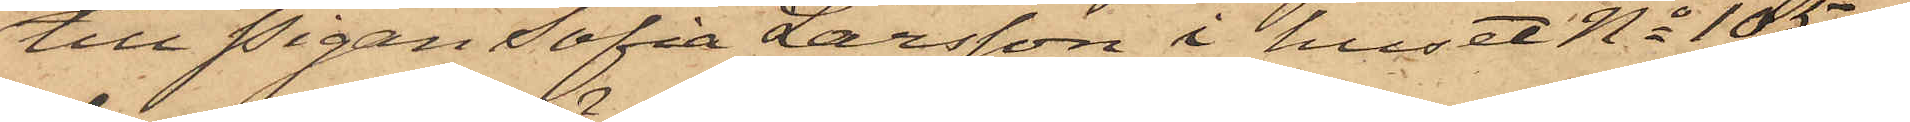till Pigan Sofia Larsson i huset No 105, yl¬
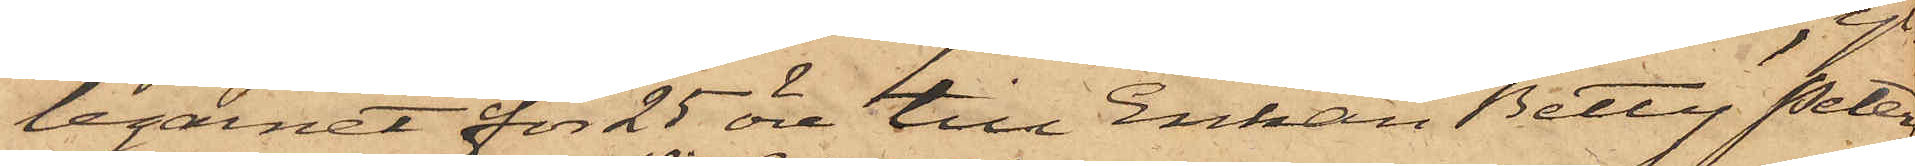legarnet för 25 öre till Enkan Betty Peters¬
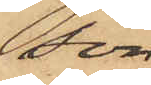son,
